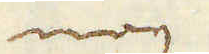nog
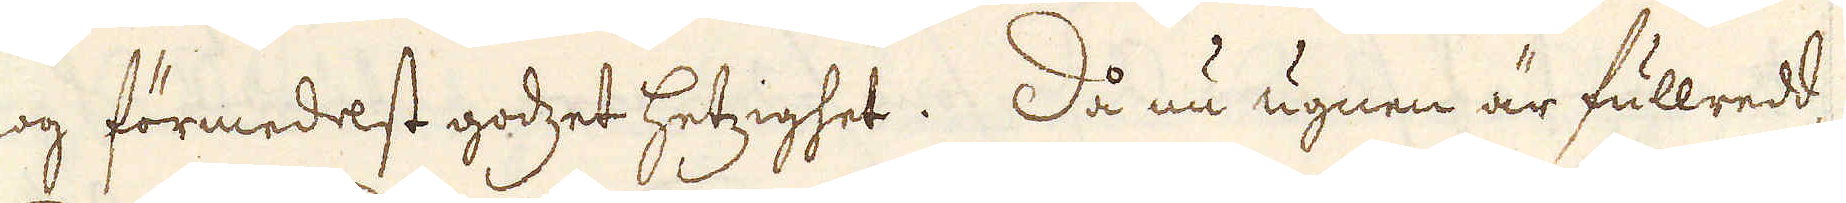nog förmedest godzet hetzighet. Då nu ugnen är fullredd,
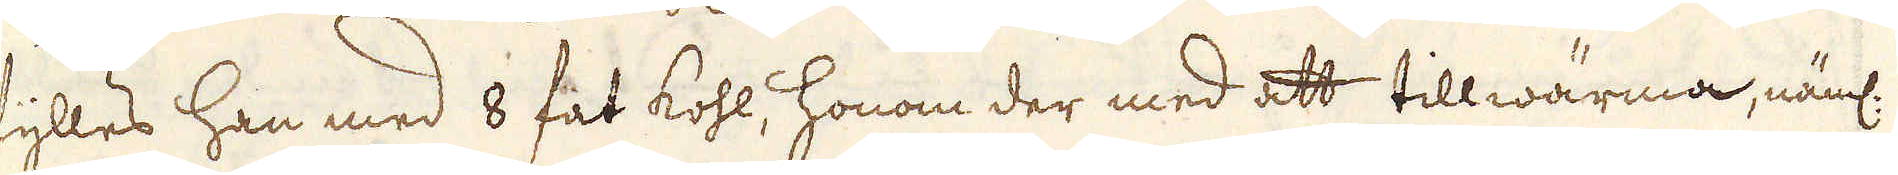fylles han med 8 fat kohl, honom der med att tillwärma, näml:
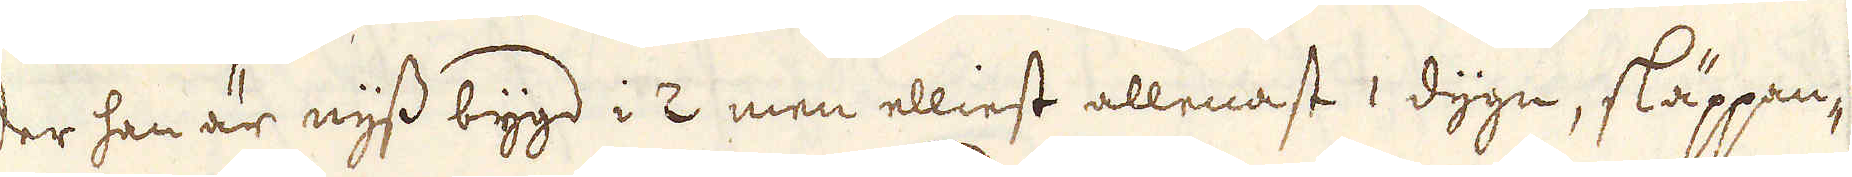der han är nyss bygd i 2 men elliest allenast 1 dygn, släppan-
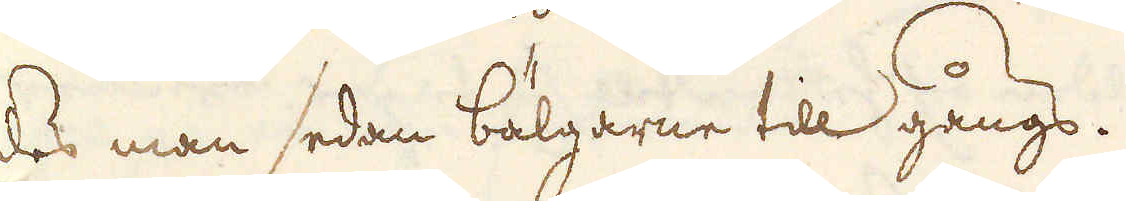des man sedan bälgarne till gångs.
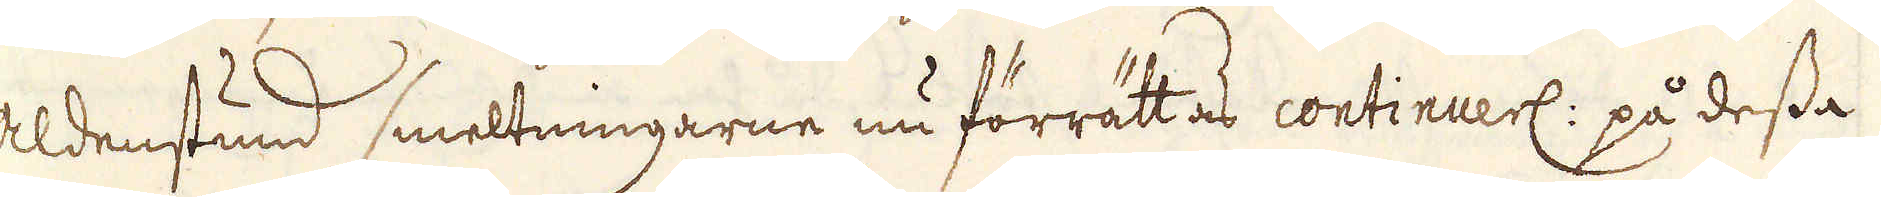Aldenstund smeltningarne nu förrättas continuerl: på dessa
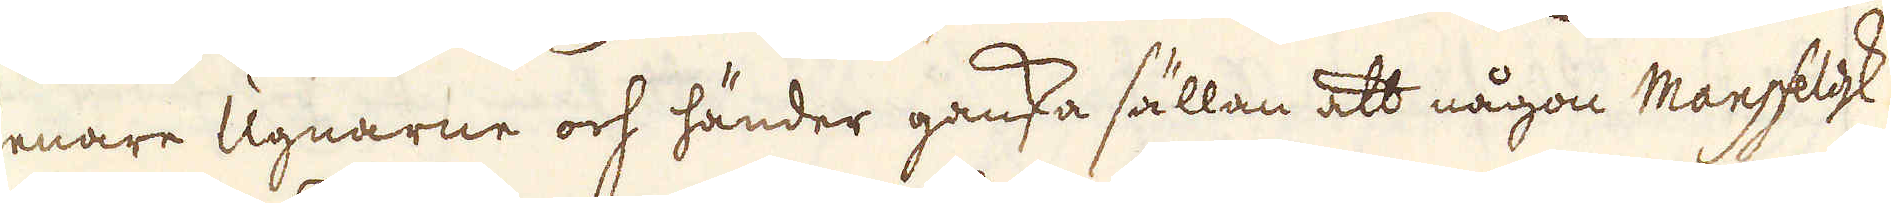senare Ugnarne och händer ganska sällan att någon Mansfeldsk
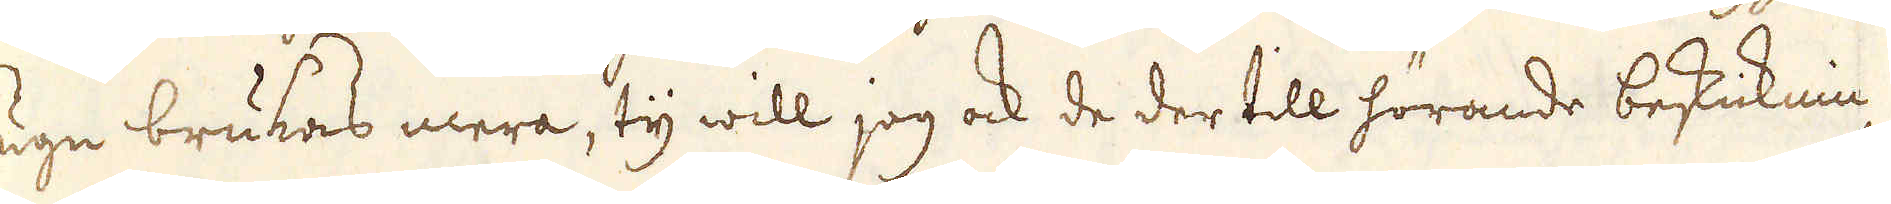ugn brukas mera, ty will jag ock de der till hörande beskicknin-
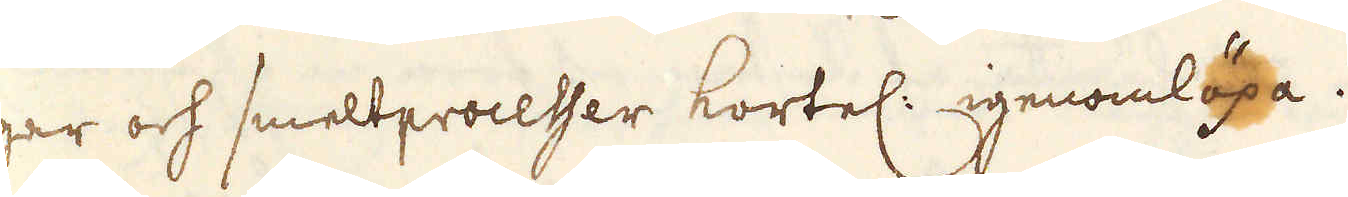gar och smeltprocesser kortel: igenomlöpa.
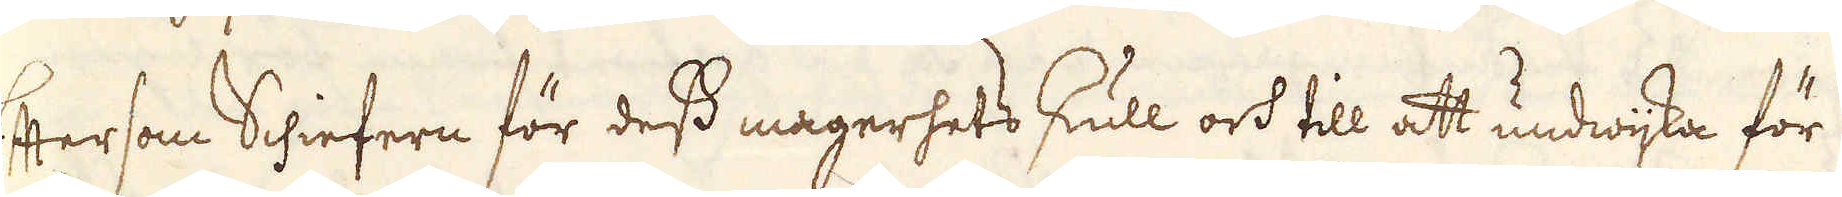Eftersom Schiefern för dess magerhets skull och till att undwijka för
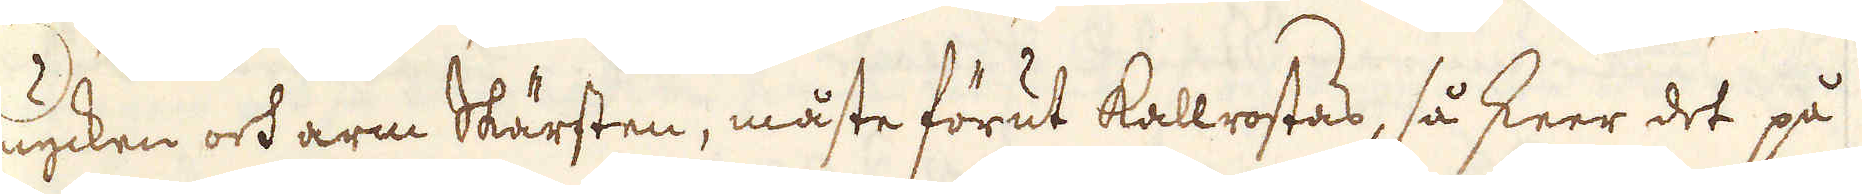mycken och arm Skärsten, måste förut kallrostas, så skeer det på
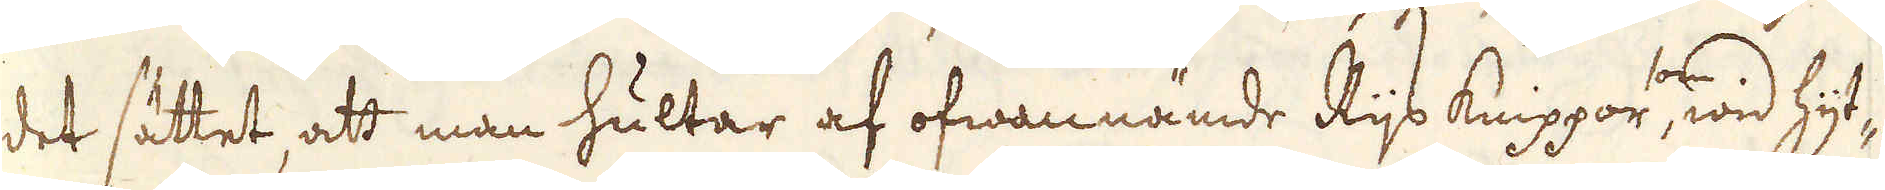det sättet, att man hultar af ofwannämde Rijs knippor, som wid hyt-
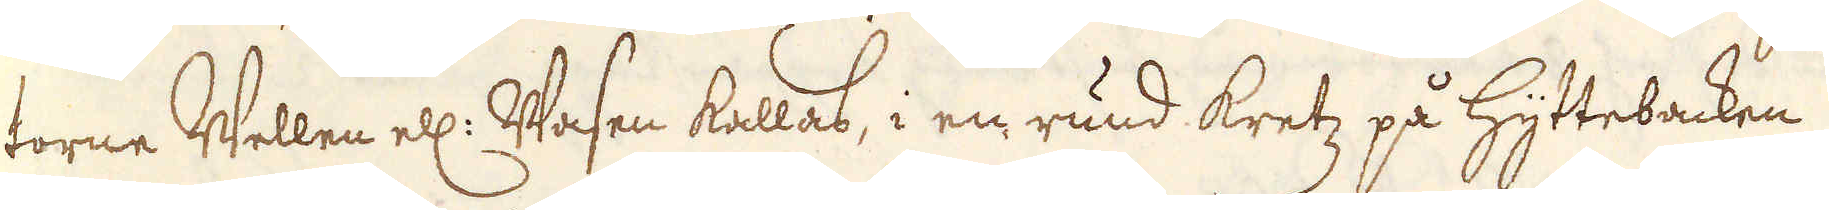torne Wellen ell: Wasen kallas, i en rund kretz på Hyttebacken
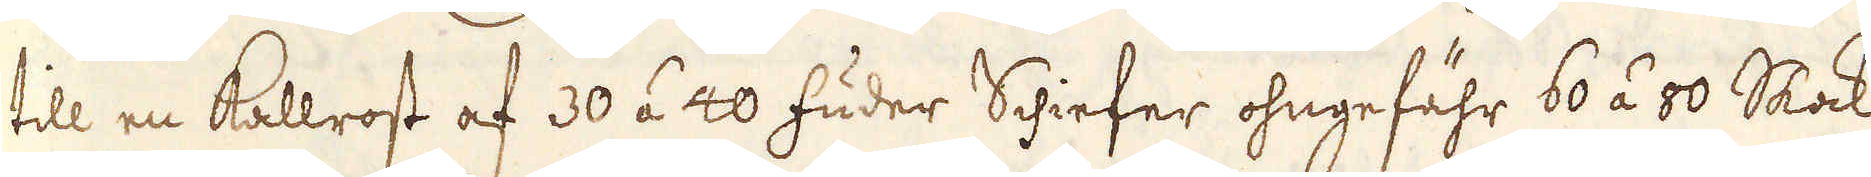till en Kallrost af 30 á 40 fuder Schiefer ohngefähr 60 á 80 Skock,
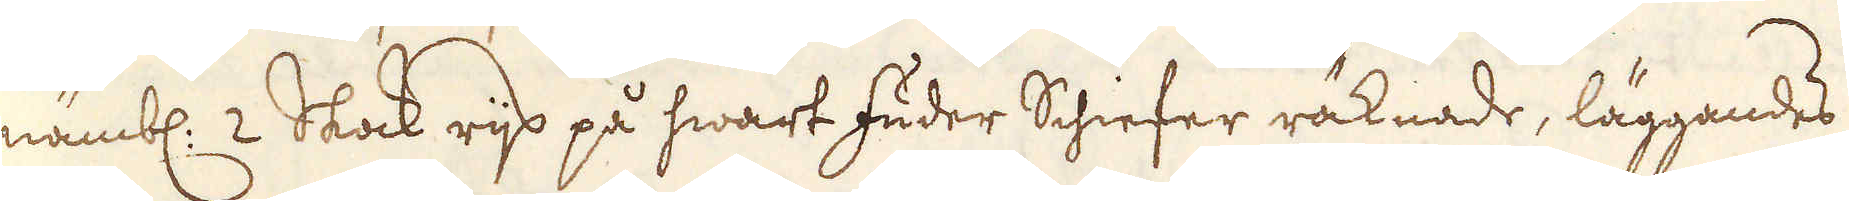nämbl: 2 Skock rijs på hwart fuder Schiefer räknade, läggandes
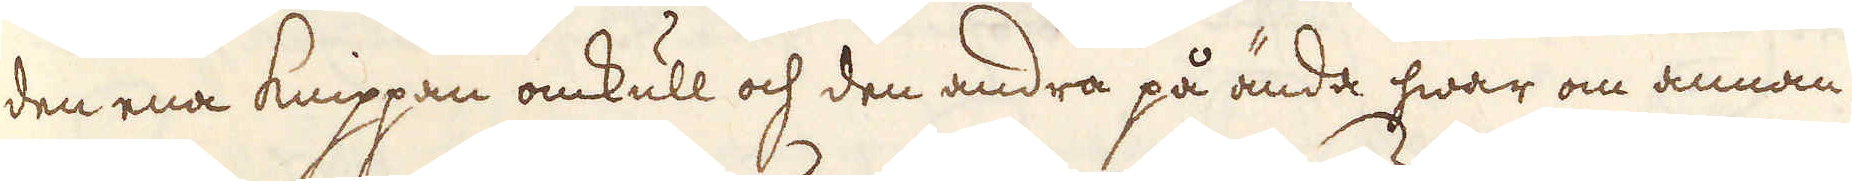den ena knippan omkull och den andra på ända hwar om annan
